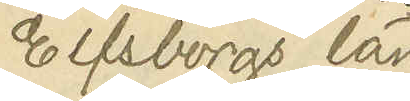i Elfsborgs län
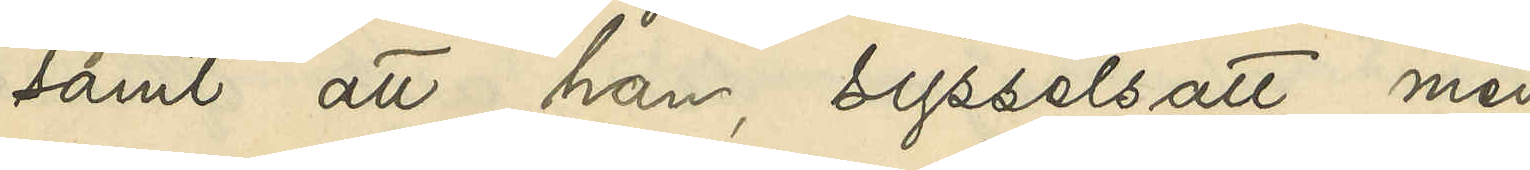samt att han, sysselsatt med
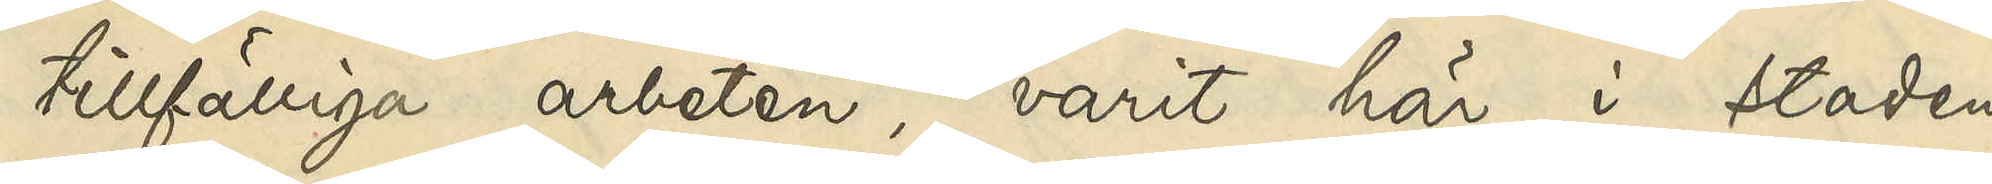tillfälliga arbeten, varit här i staden
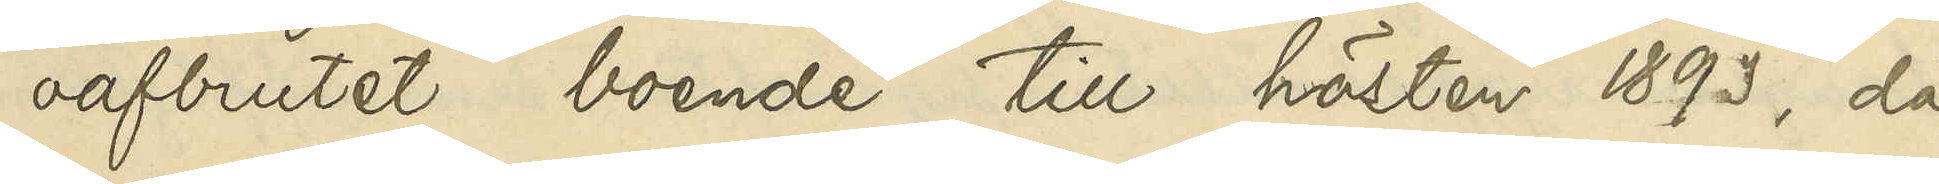oafbrutet boende till hösten 1893, då
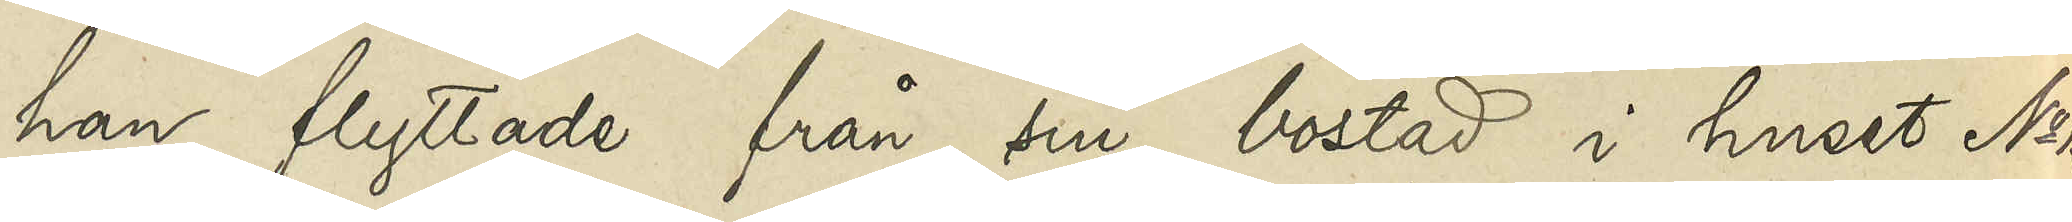han flyttade från sin bostad i huset No 13
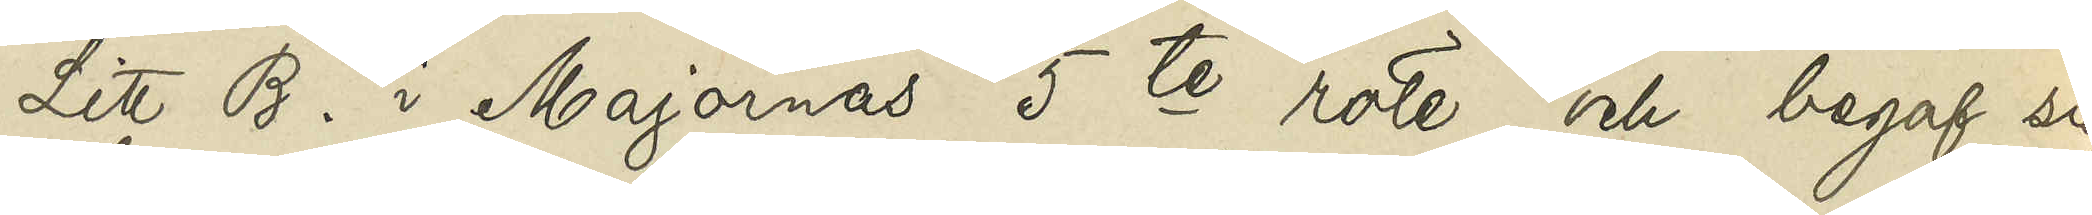Litt. B i Majornas 5te rote och begaf sig
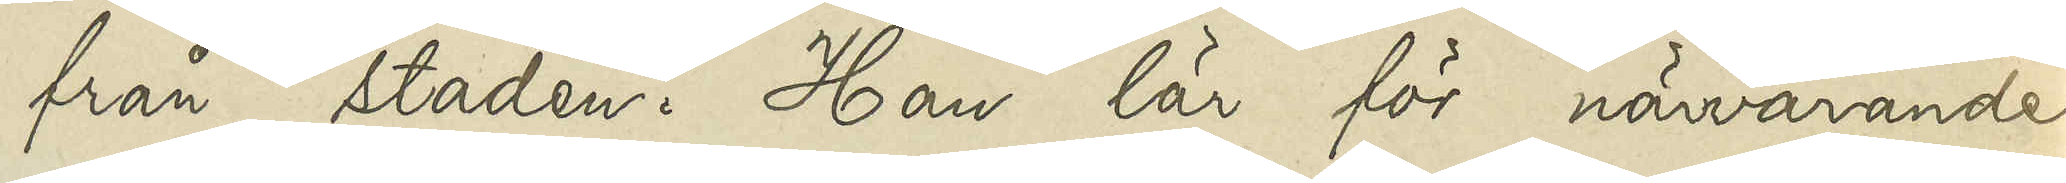från staden. Han lär för närvarande
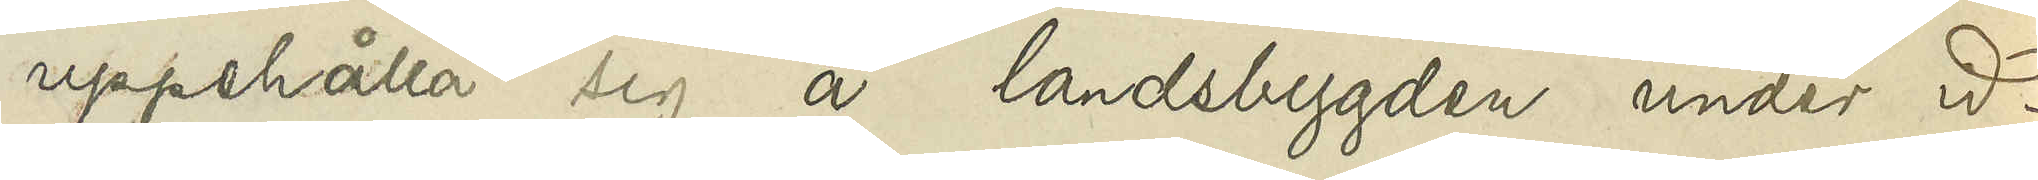uppehålla sig å landsbygden under id¬
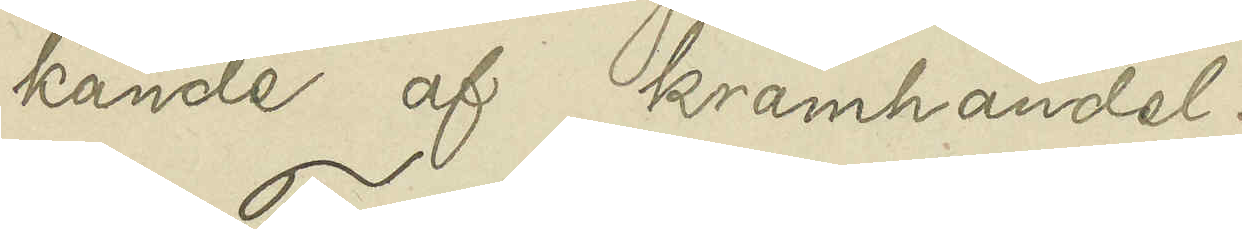kande af kramhandel.
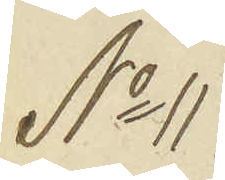No 11
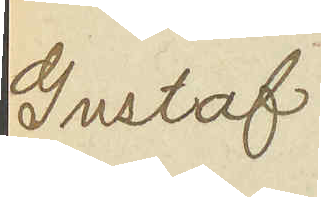Gustaf
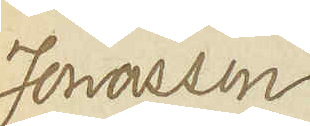Jonasson
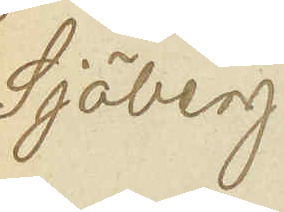Sjöberg
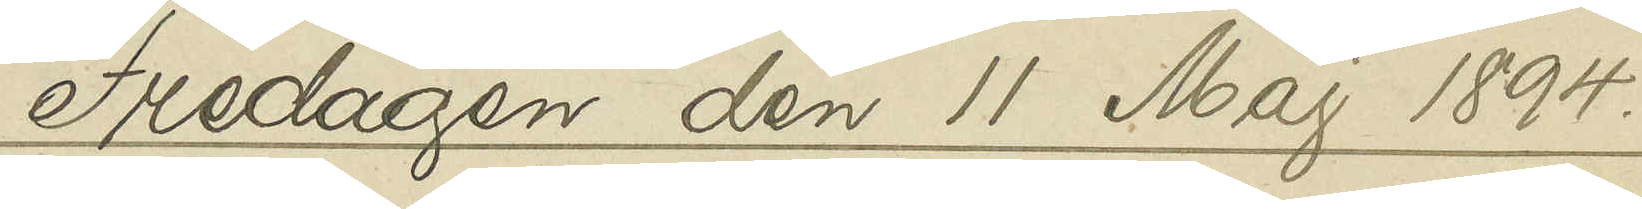Fredagen den 11 Maj 1894.
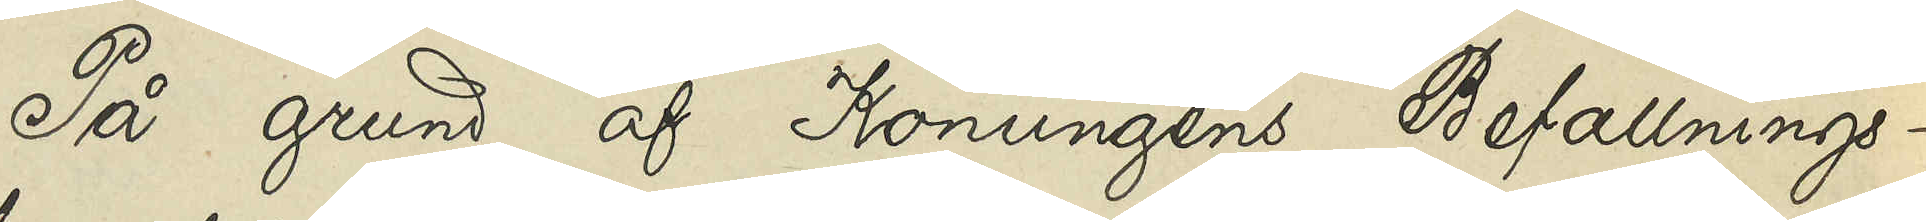På grund af Konungens Befallnings¬
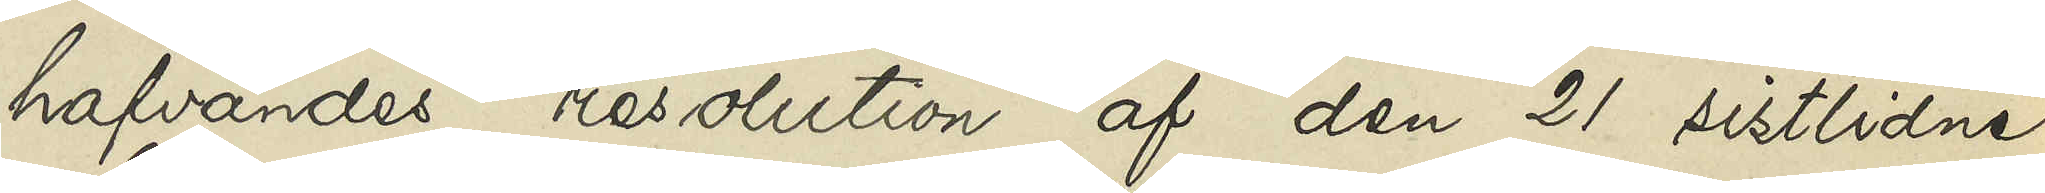hafvandes resolution af den 21 sistlidne
